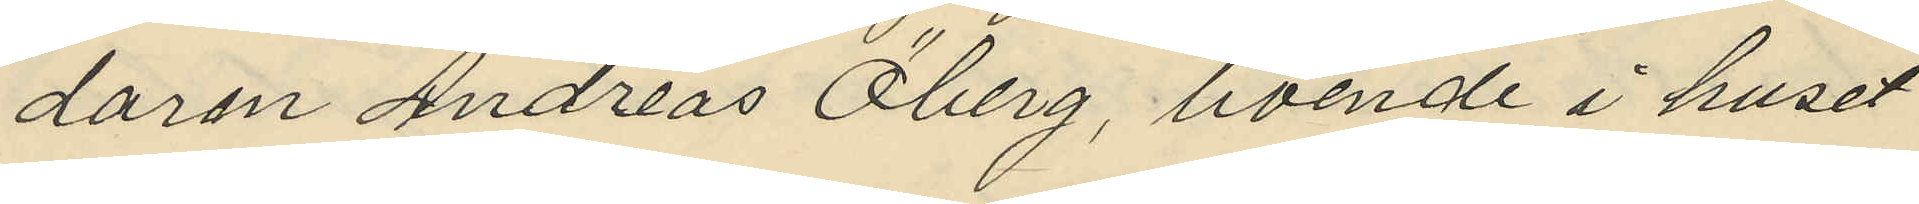daren Andreas Öberg, boende i huset
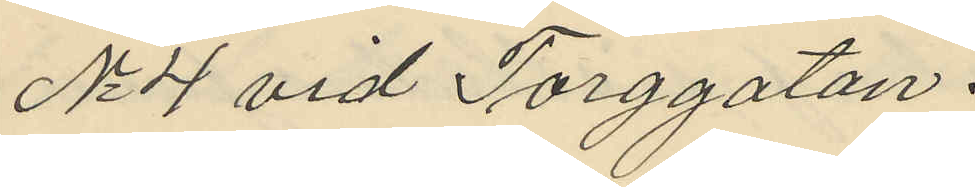No 4 vid Torggatan.
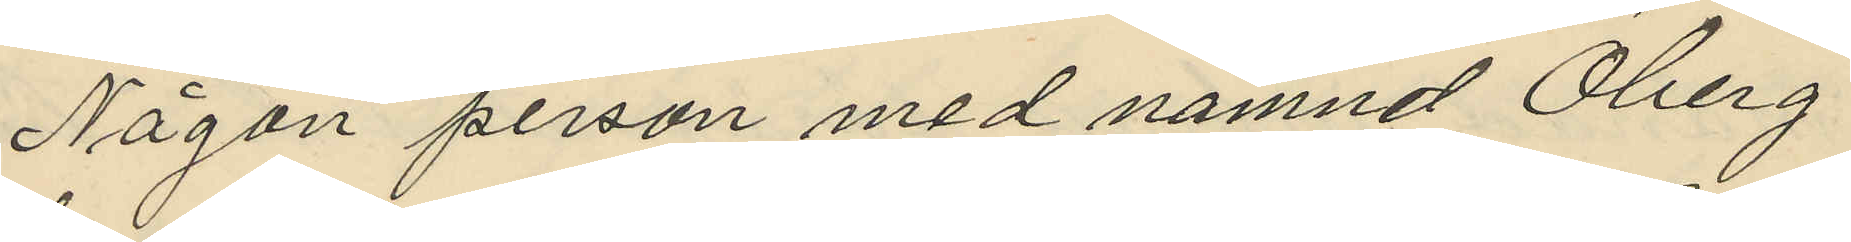Någon person med namnd Öberg
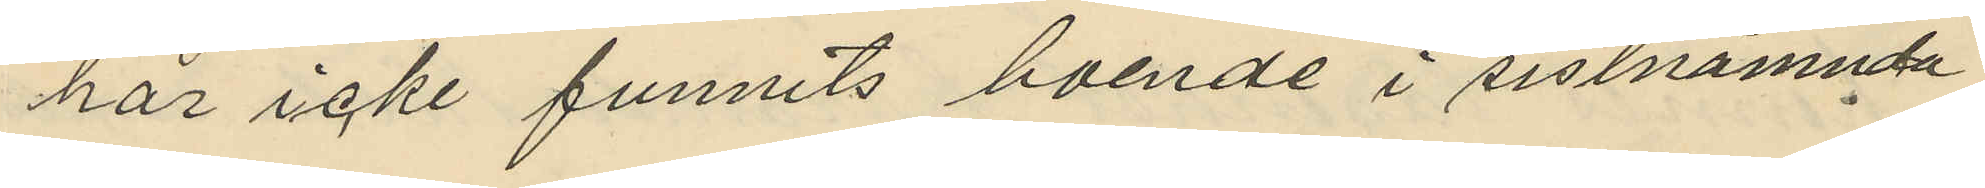har icke funnits boende i sistnämnda
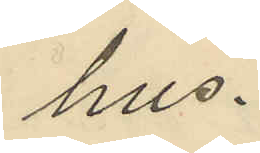hus.
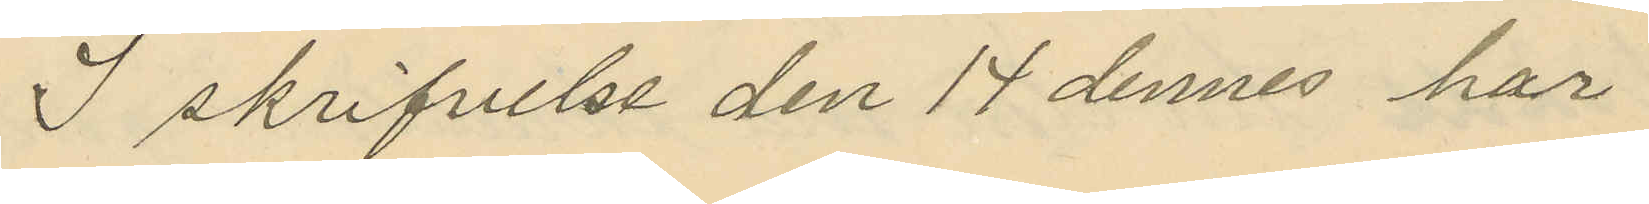I skrifvelse den 17 dennes har
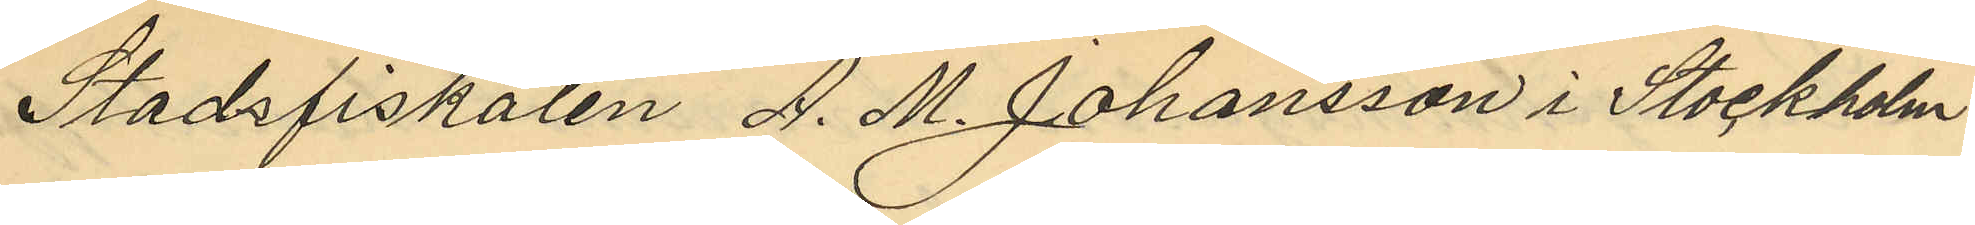Stadsfiskalen A. M. Johansson i Stockholm
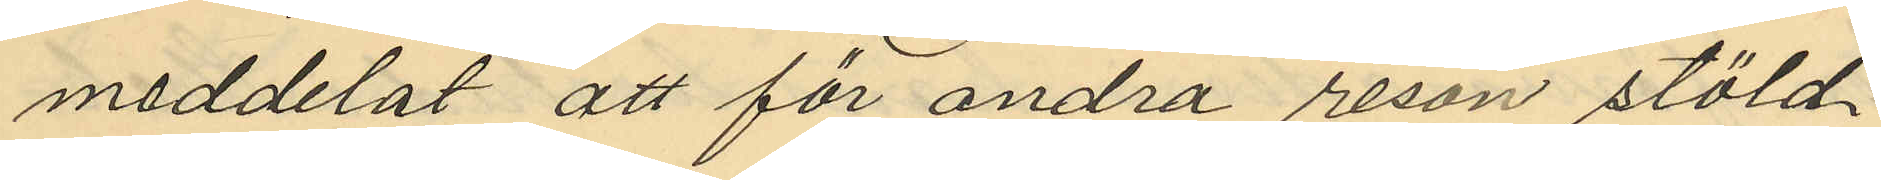meddelat att för andra resan stöld
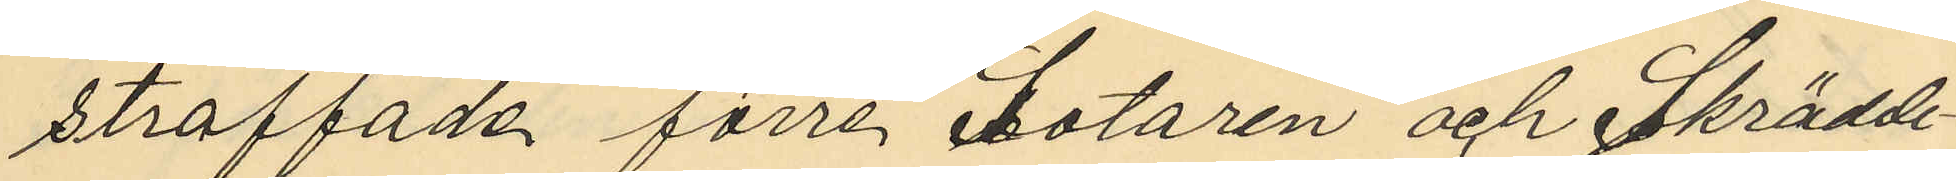straffade förre sotaren och Skrädde¬
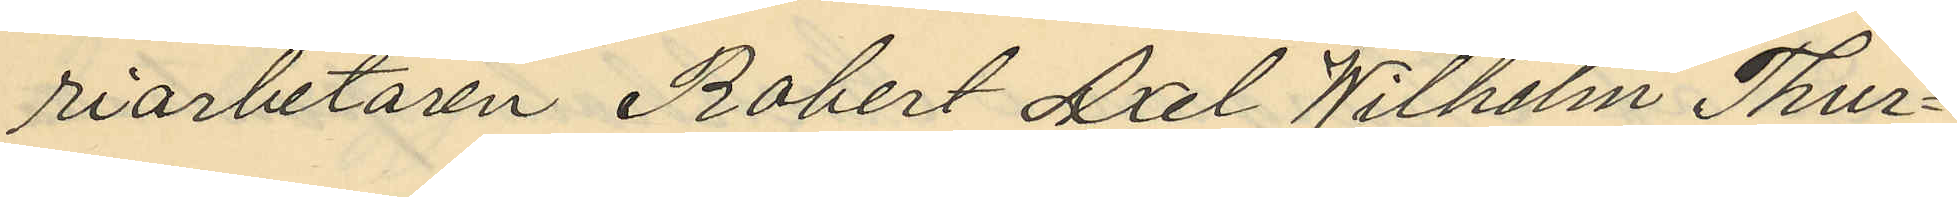riarbetaren Robert Axel Wilhelm Thur¬
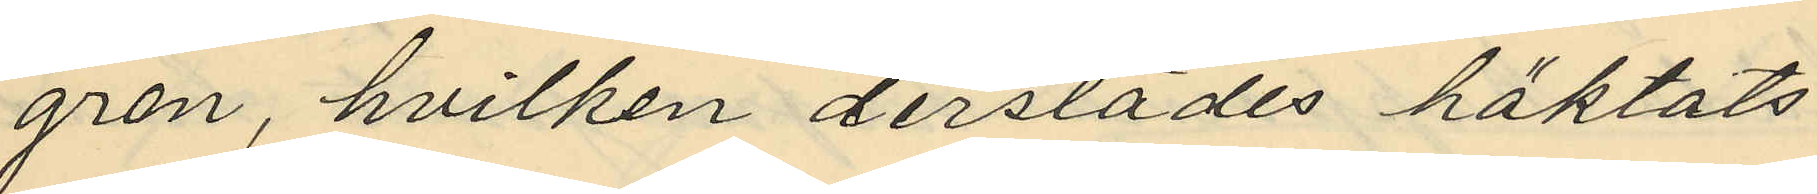gren, hvilken derstädes häktats
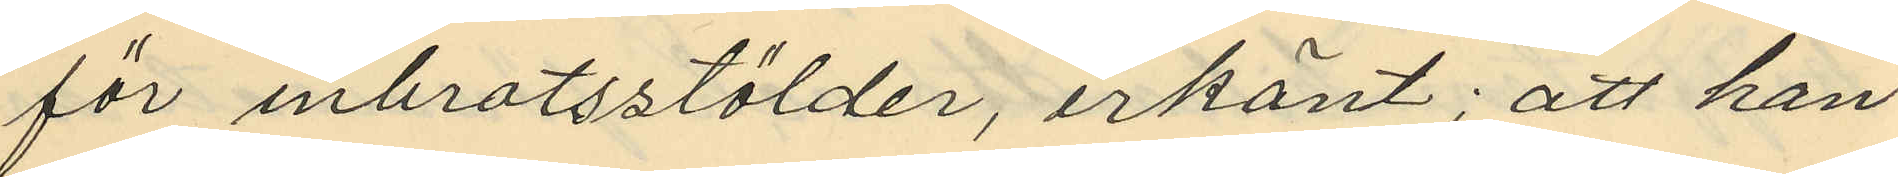för inbrotsstölder, erkänt; att han
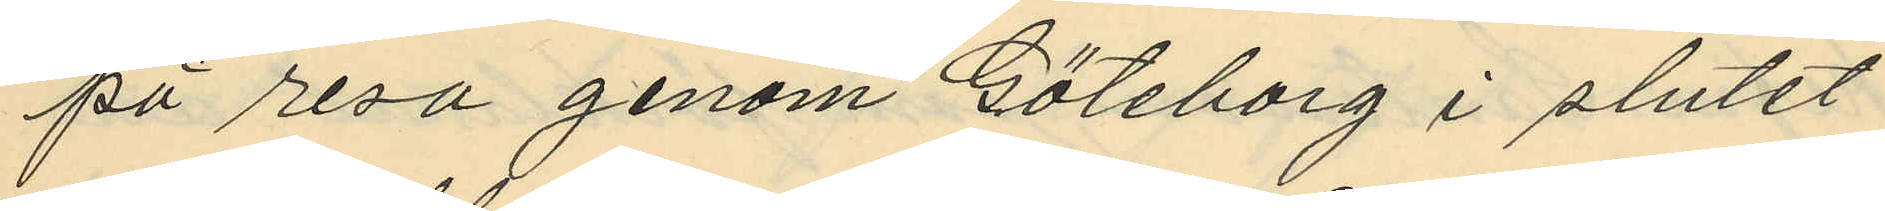på resa genom Göteborg i slutet
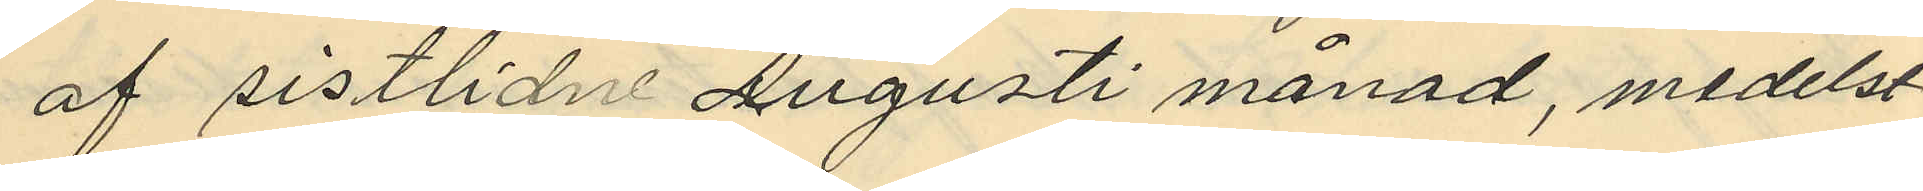af sistlidne Augusti månad, medelst
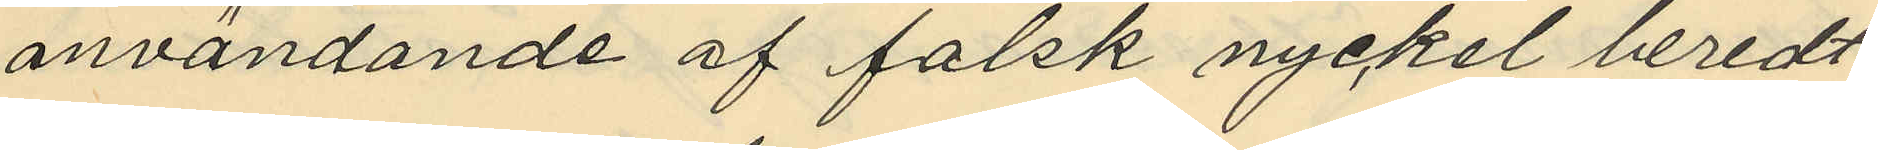användande af falsk nyckel beredt
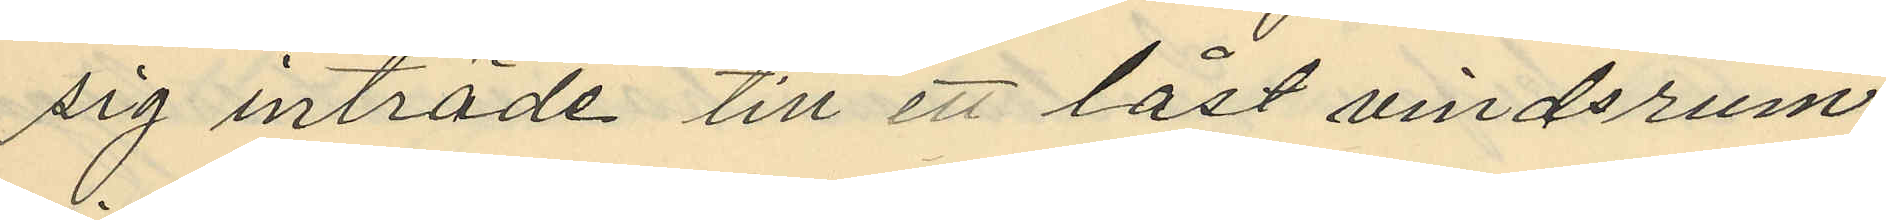sig inträde till ett låst vindsrum
